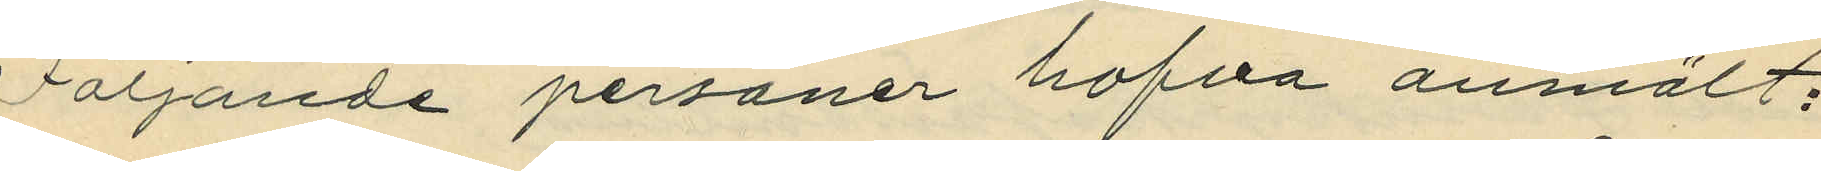Följande personer hafva anmält:
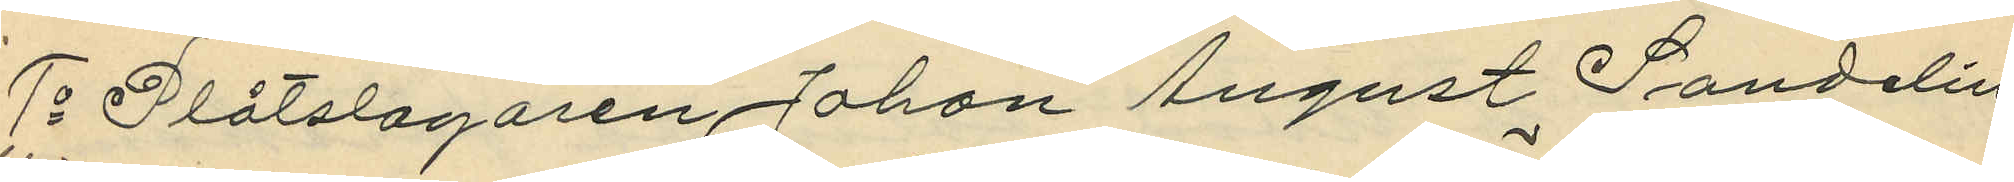1o Plåtslagaren Johan August Sandelin
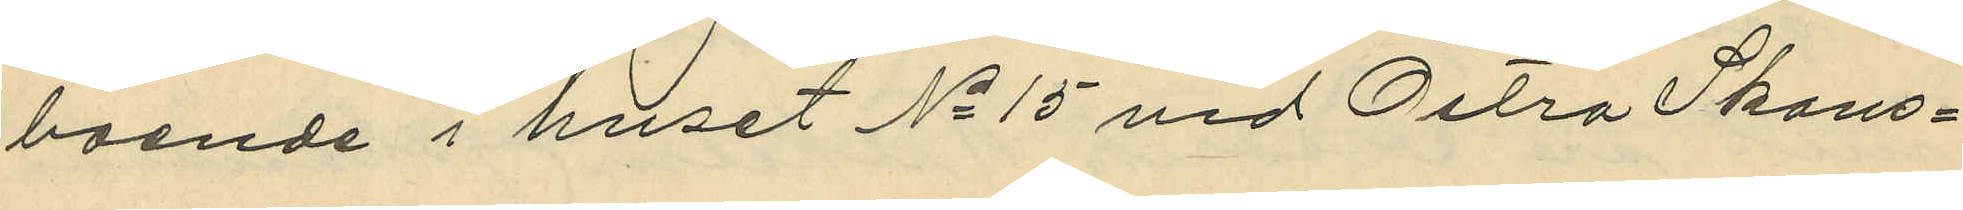boende i huset No 15 vid Östra Skans¬
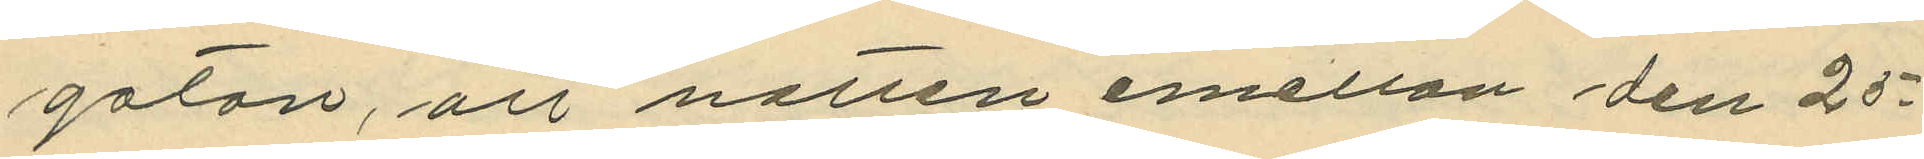gatan, att natten emellan den 25
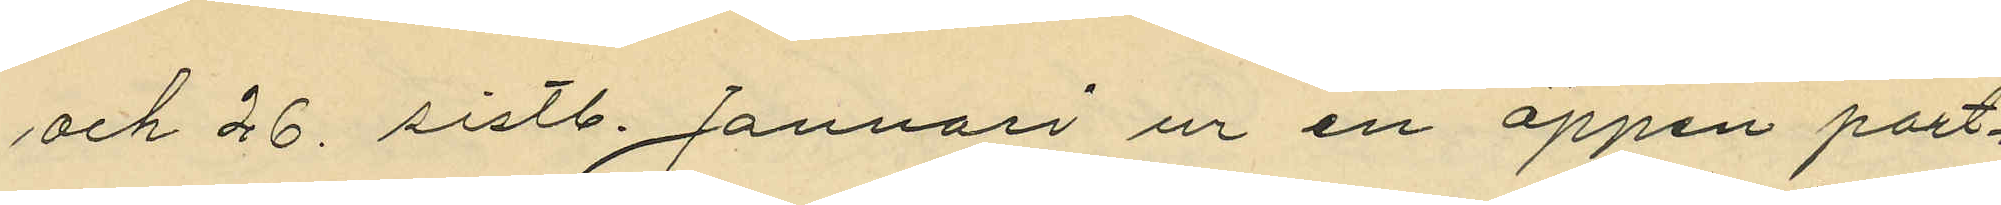och 26 sistl. Januari ur en öppen port¬
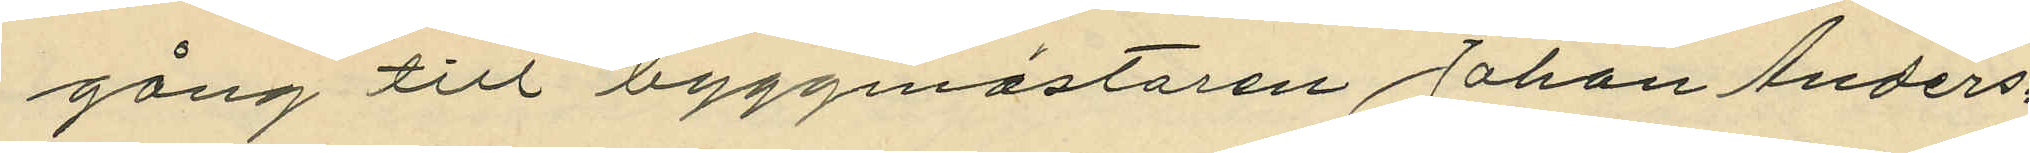gång till byggmästaren Johan Anders¬
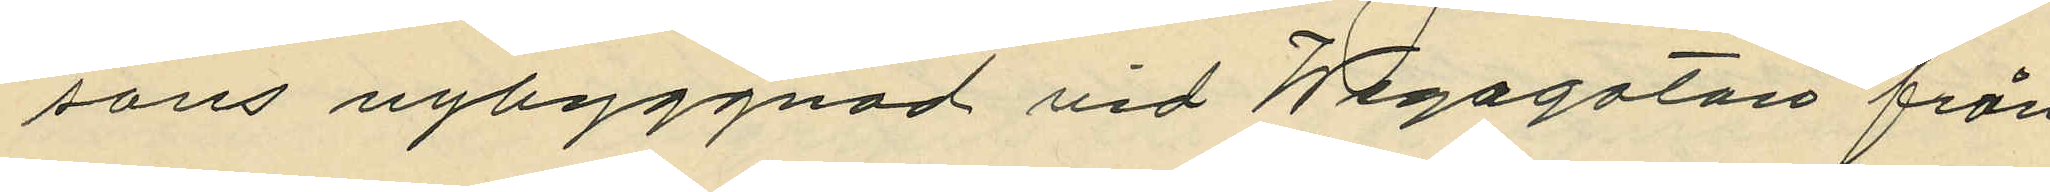sons nybyggnad vid Wegagatan från
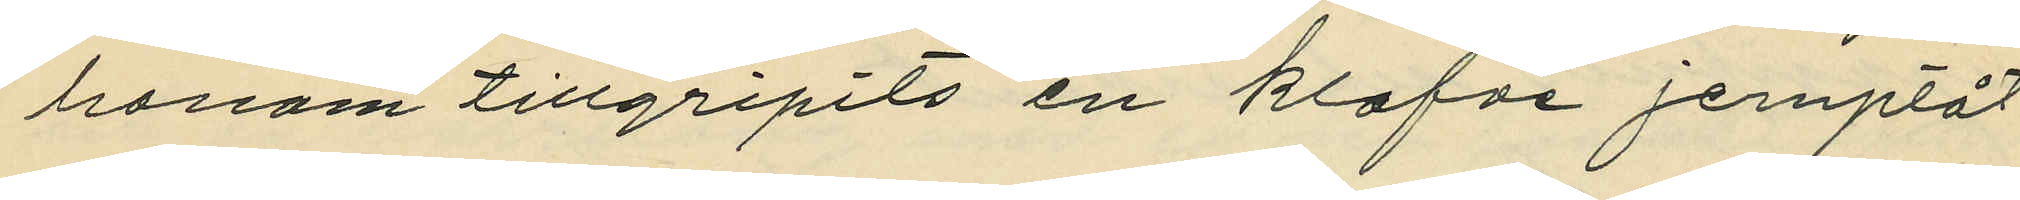honom tillgripits en klafve jernplåt
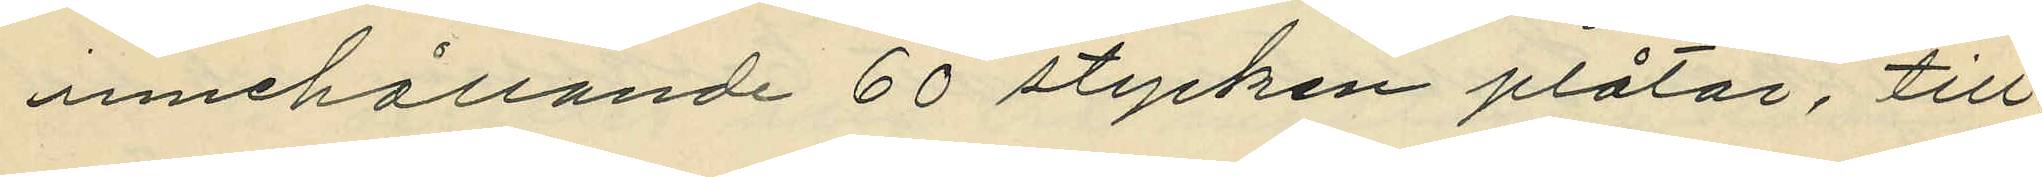innehållande 60 stycken plåtar, till¬
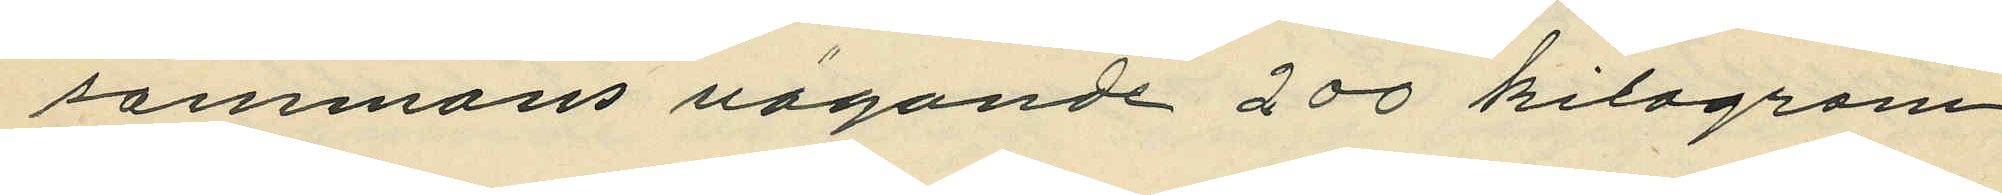sammans vägande 200 kilogram
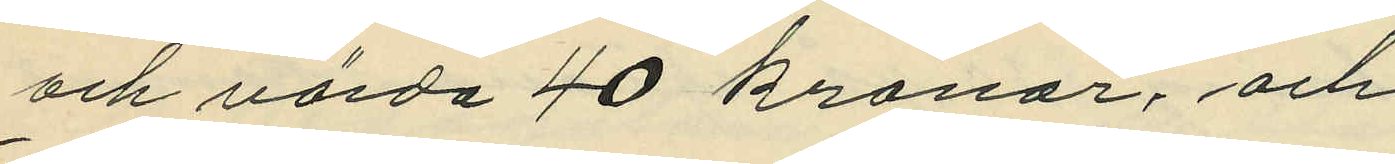och värda 40 kronor, och
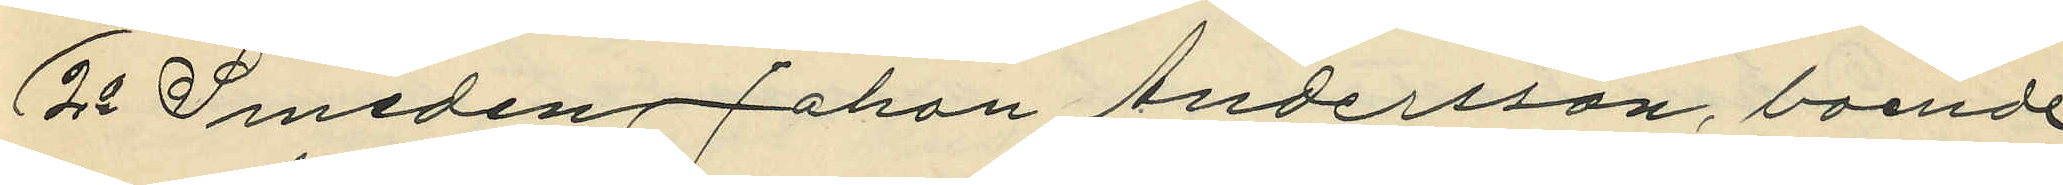2o Smeden Johan Andersson, boende
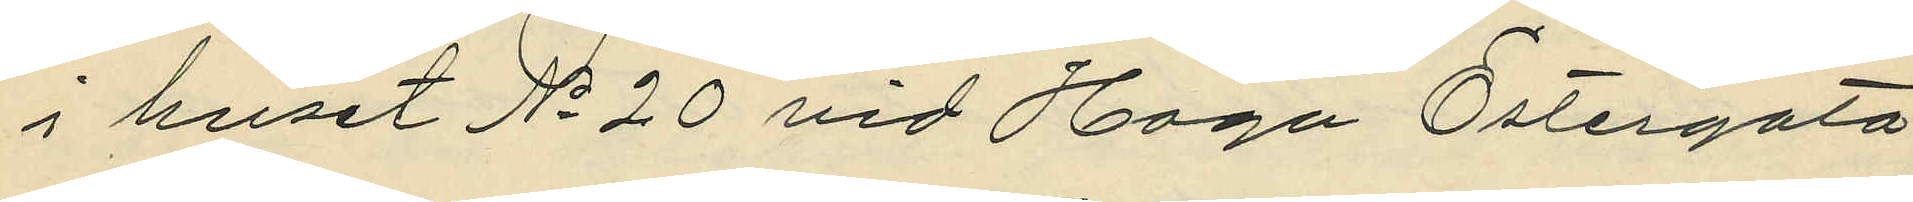i huset No 20 vid Haga Östergata,
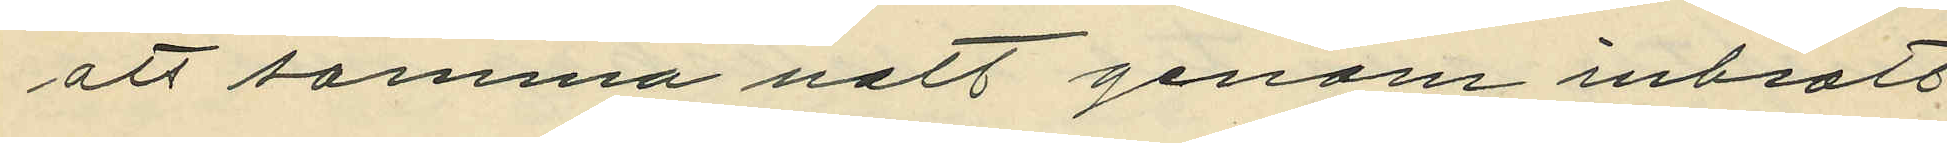att samma natt genom inbrott
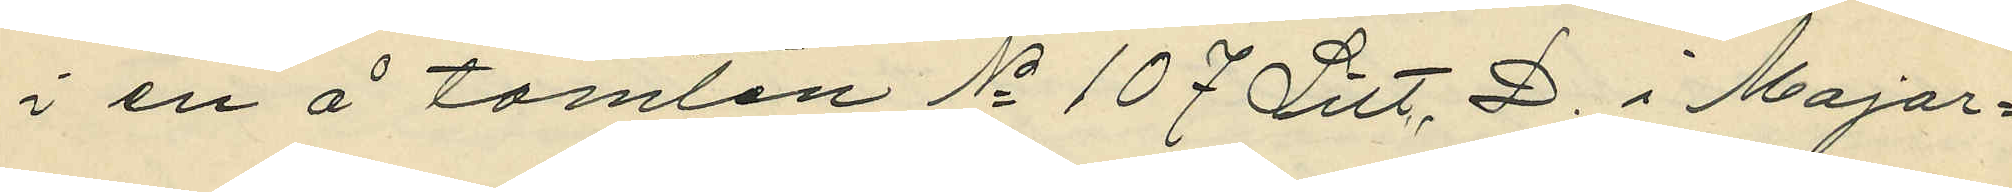i en å tomten No 107 Litt. D i Major¬
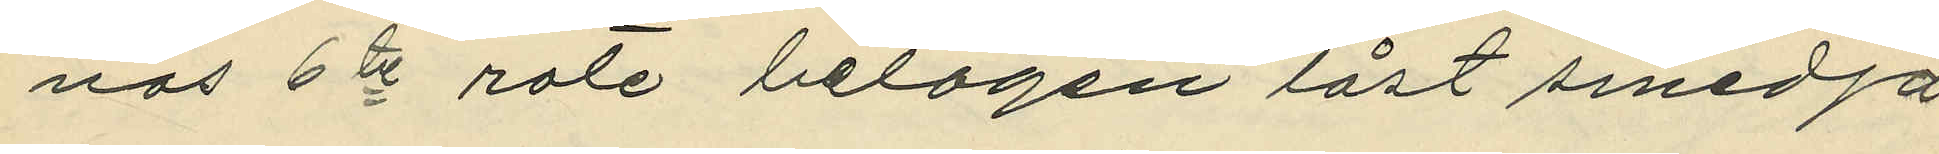nas 6te rote belägen låst smedja,
